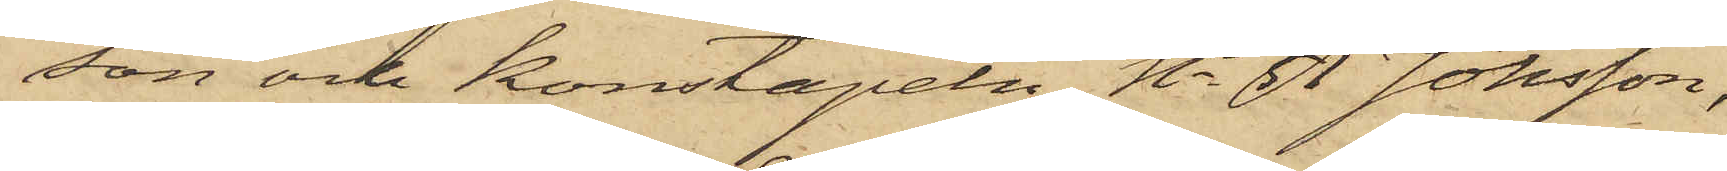son och konstapeln No 51 Jönsson,
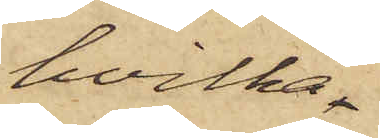hvilka
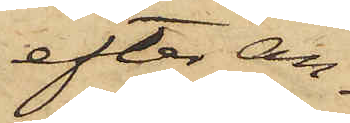efter an¬
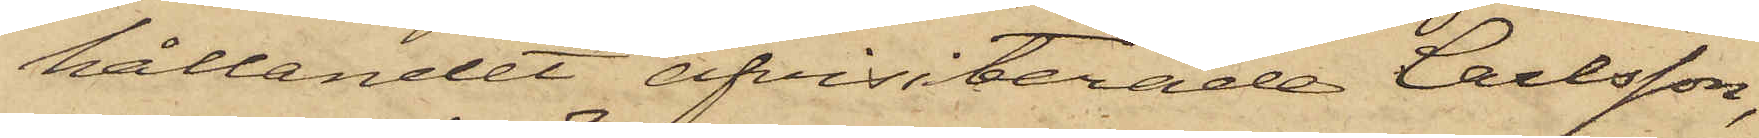hållandet afvisiterade Carlsson
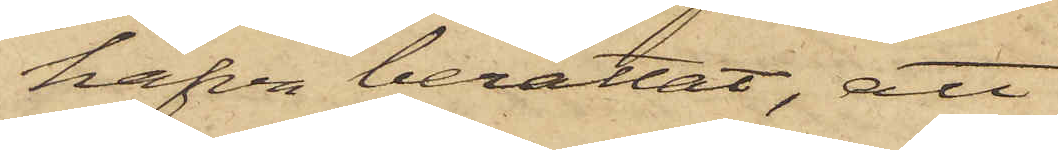hafva berättat, att
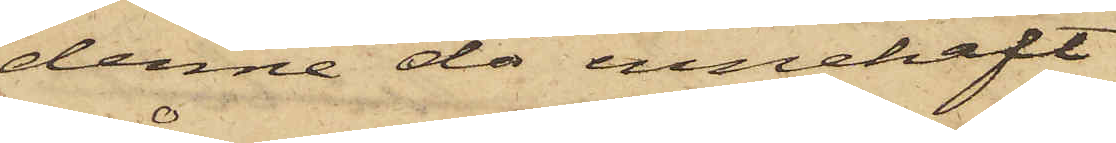denne då innehaft
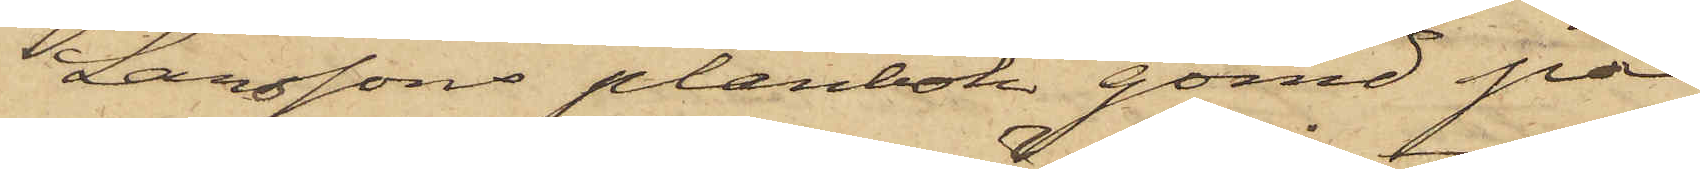Larssons plånbok gömd på
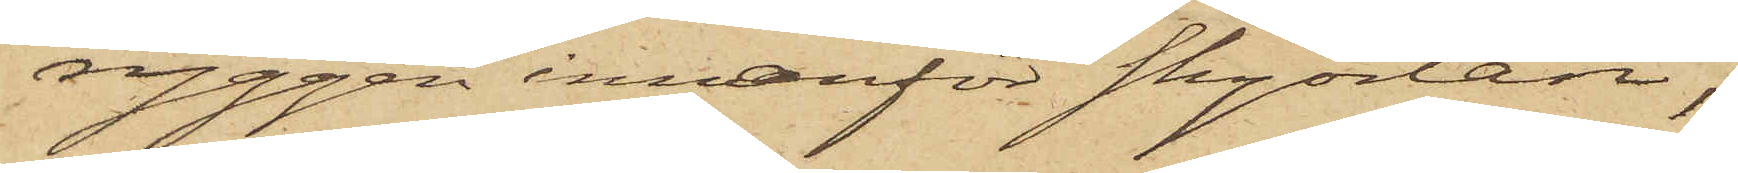ryggen innanför skjortan;
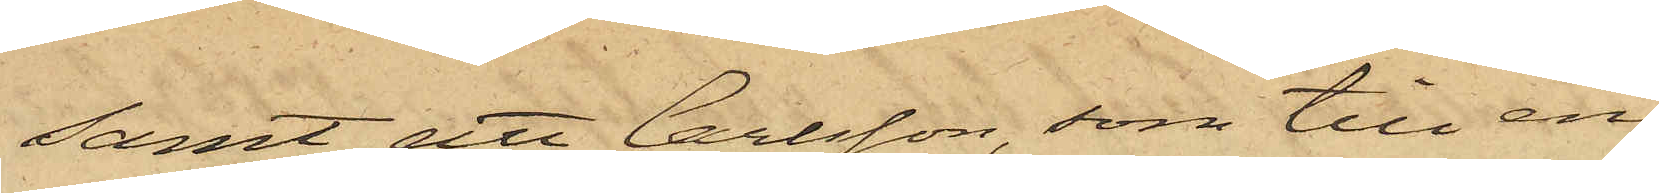samt att Carlsson, som till en
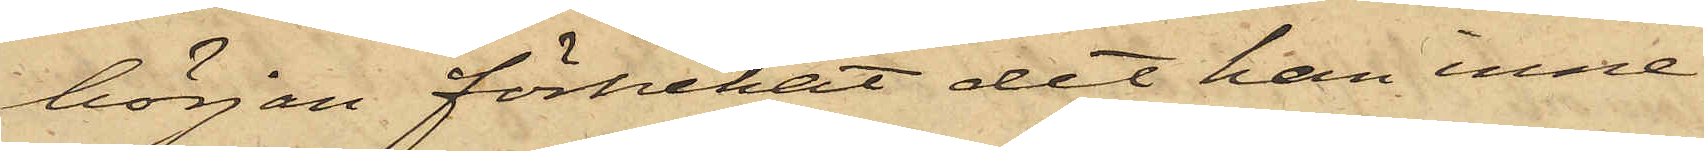början förnekat det han inne¬
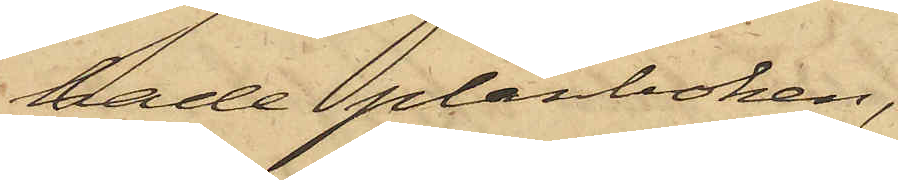hade plånboken,
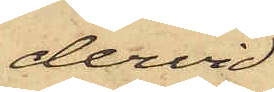dervid
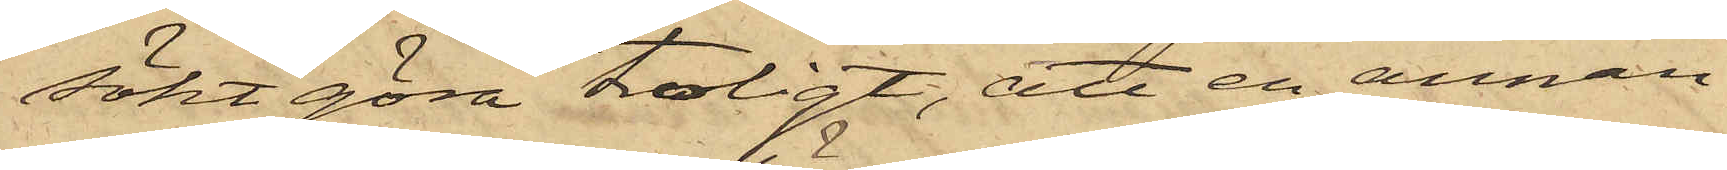sökt göra troligt, att en annan
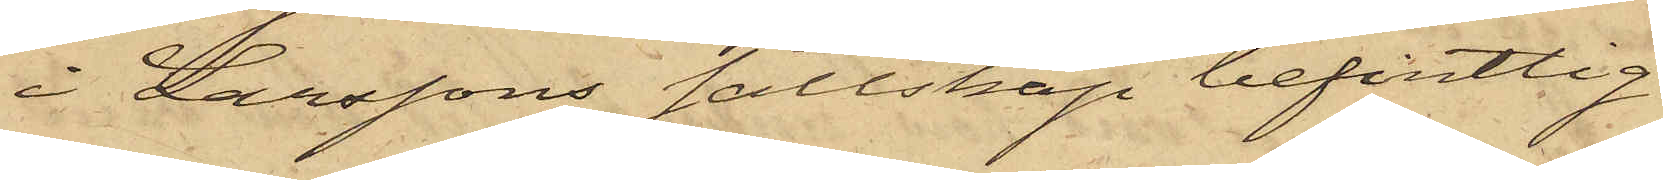i Larssons sällskap befintlig
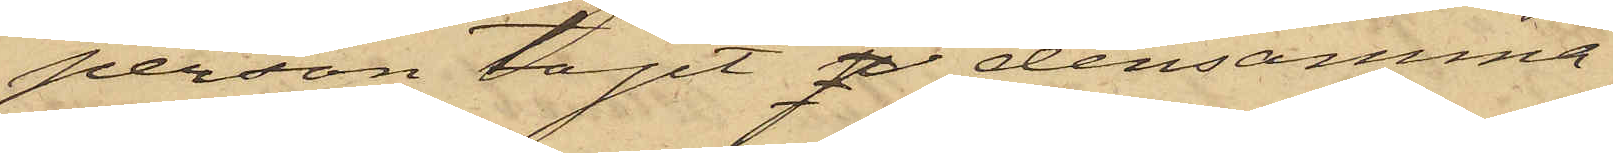person tagit p densamma.
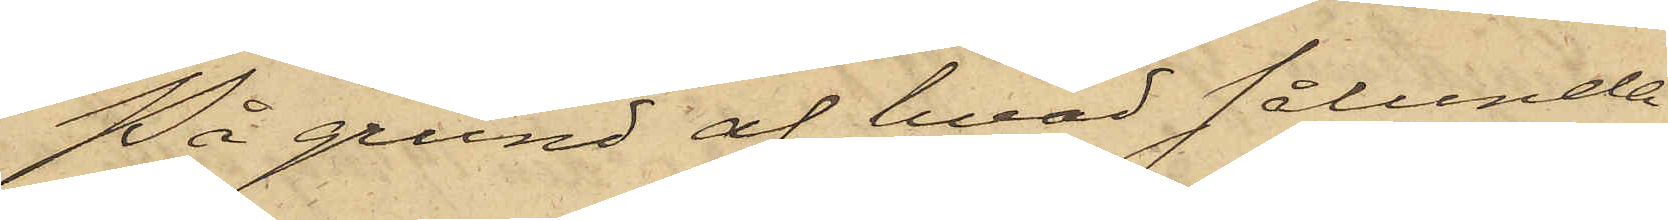På grund af hvad sålunda
